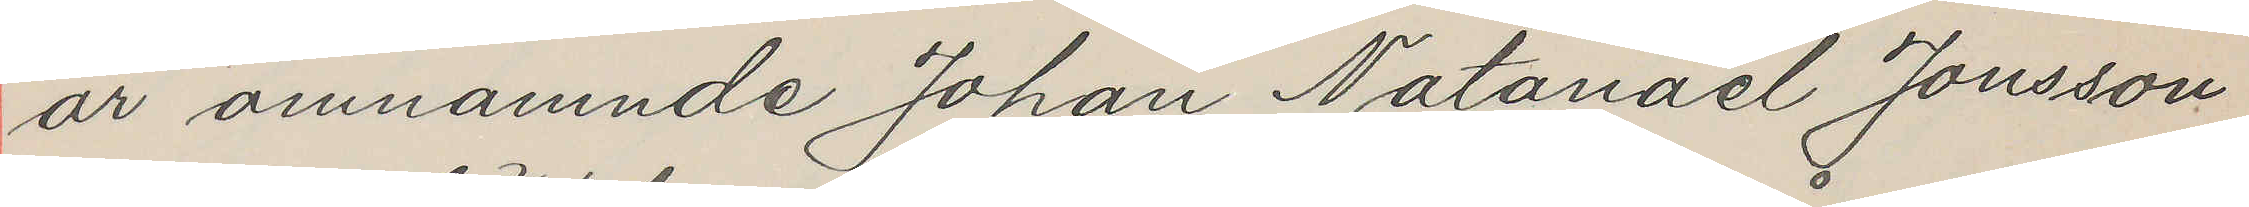år omnämnde Johan Natanael Jonsson
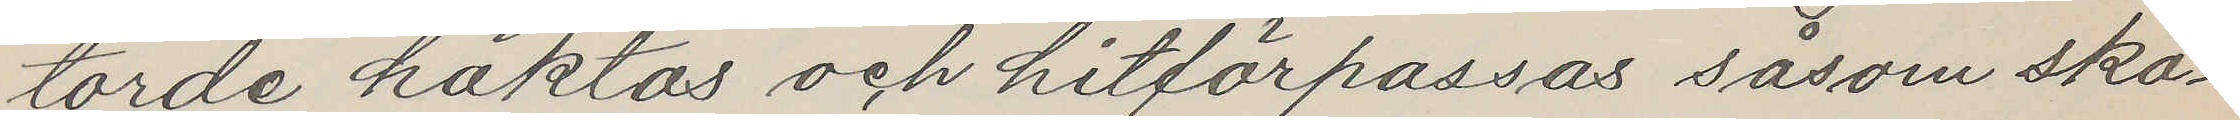torde häktas och hitförpassas såsom skä¬
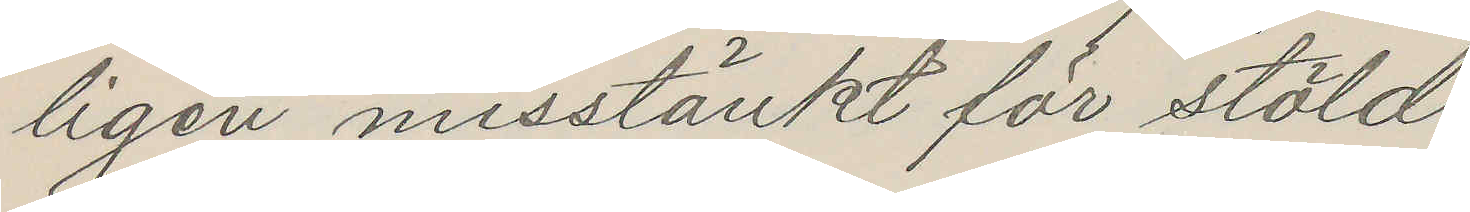ligen misstänkt för stöld
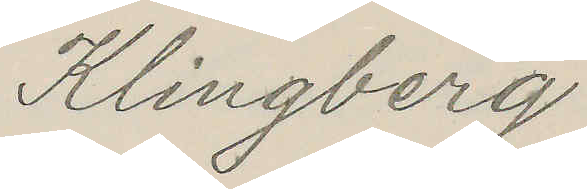Klingberg
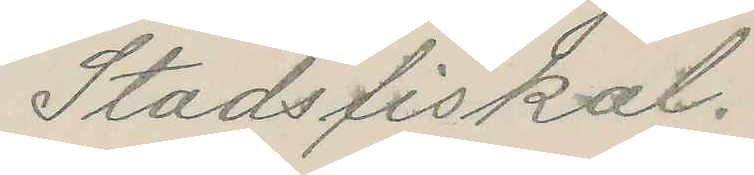Stadsfiskal.
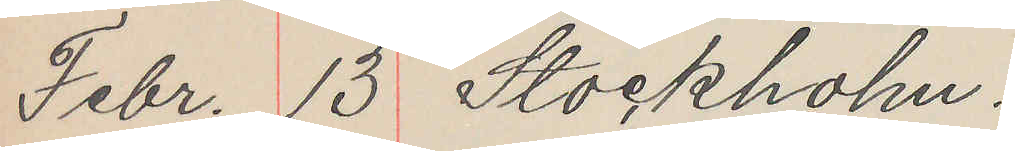Febr. 13 Stockholm
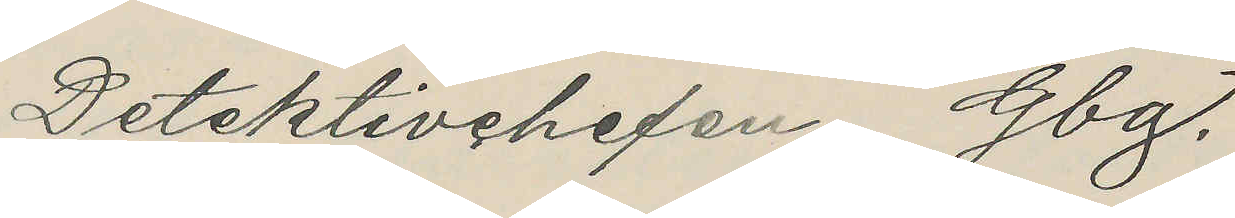Detektivchefen Gbg.
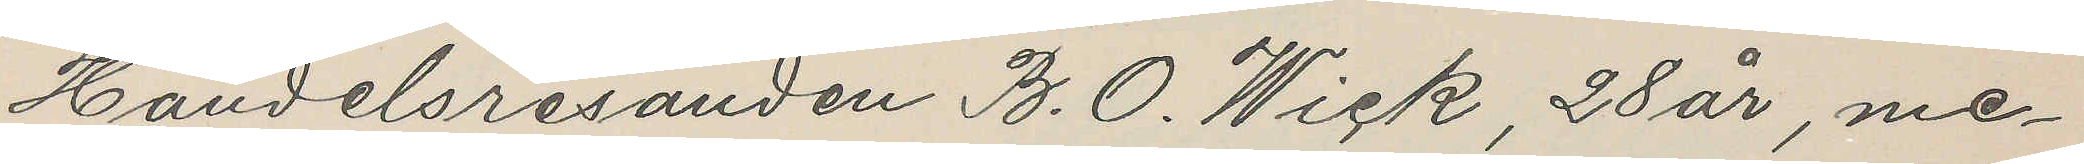Handelsresanden B. O. Wick, 28 år, me¬
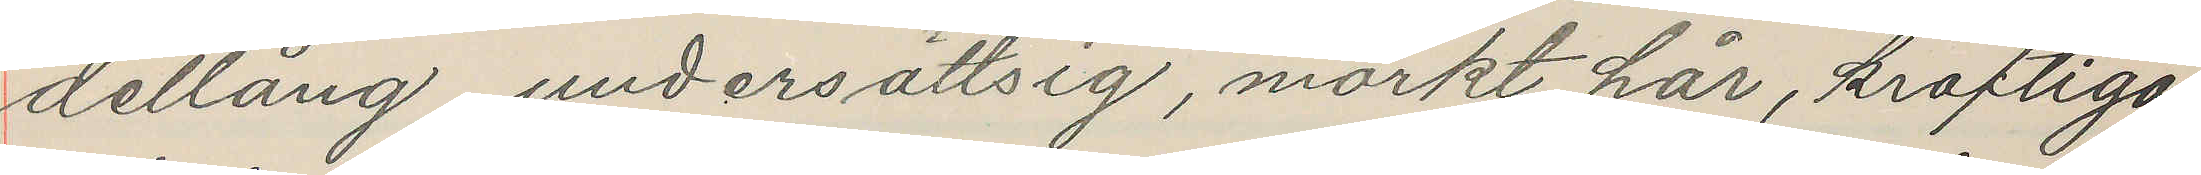dellång, undersättsig, mörkt hår, kraftiga
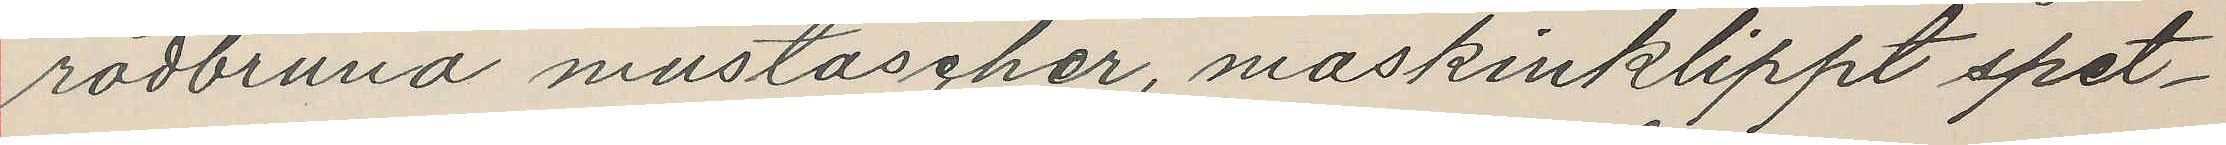rödbruna mustascher, maskinklippt spet¬
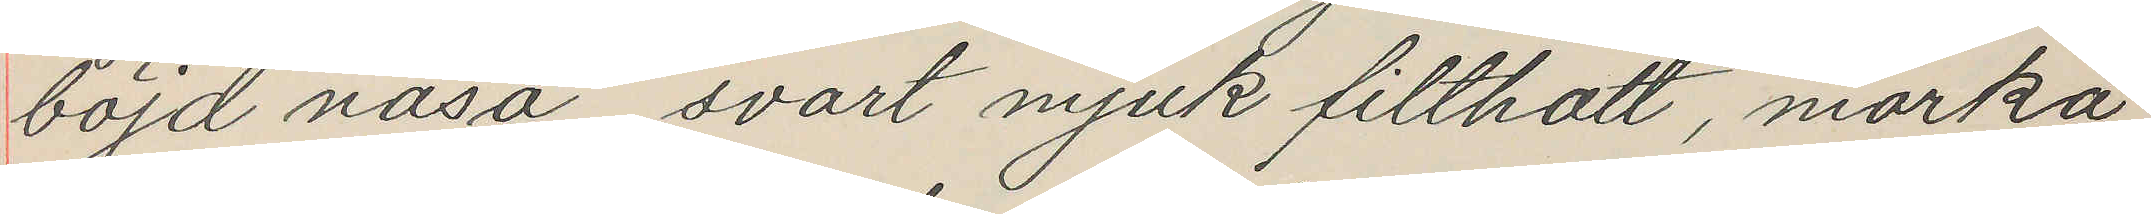böjd näsa, svart mjuk filthatt, mörka
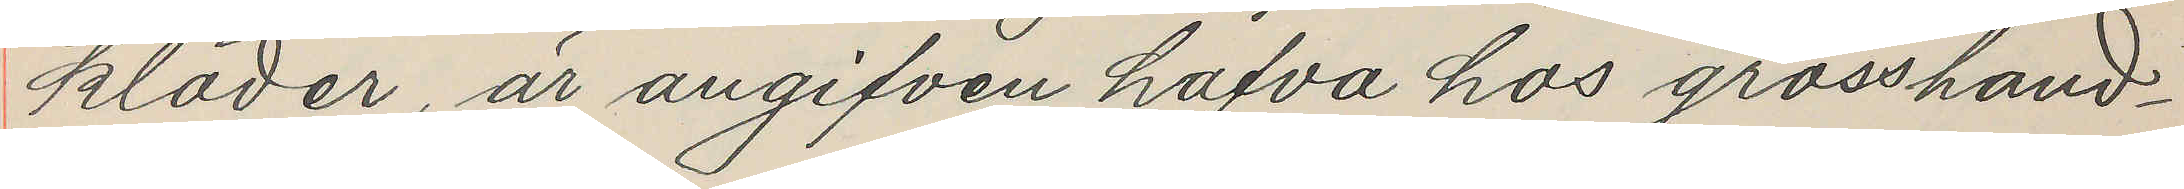kläder, är angifven hafva hos grosshand¬
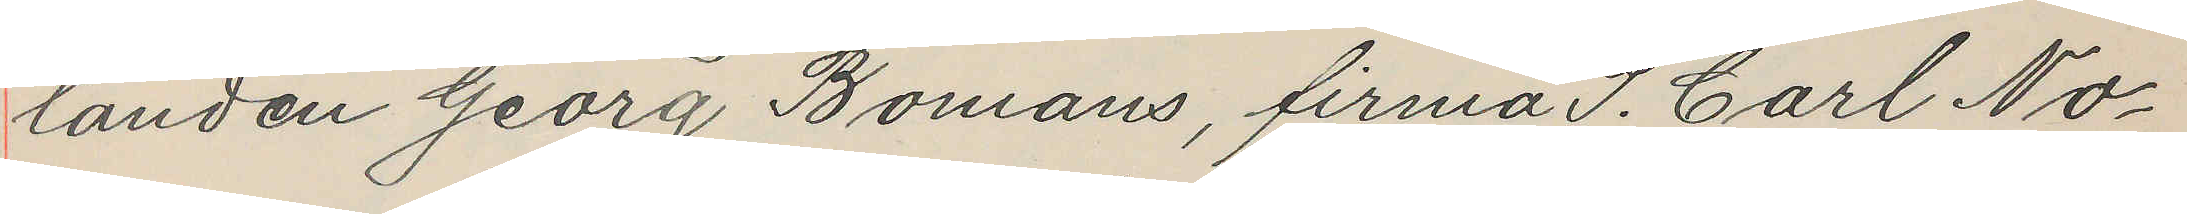landen Georg Bomans, firma P. Carl No¬
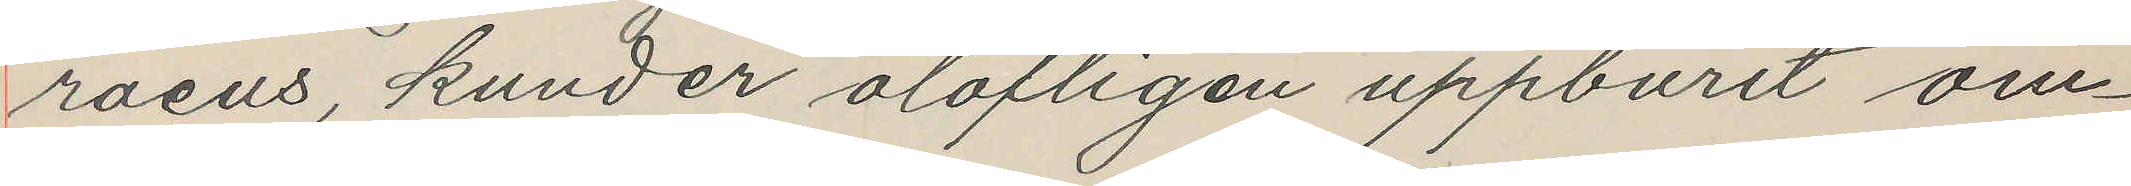raeus, kunder olofligen uppburit om¬
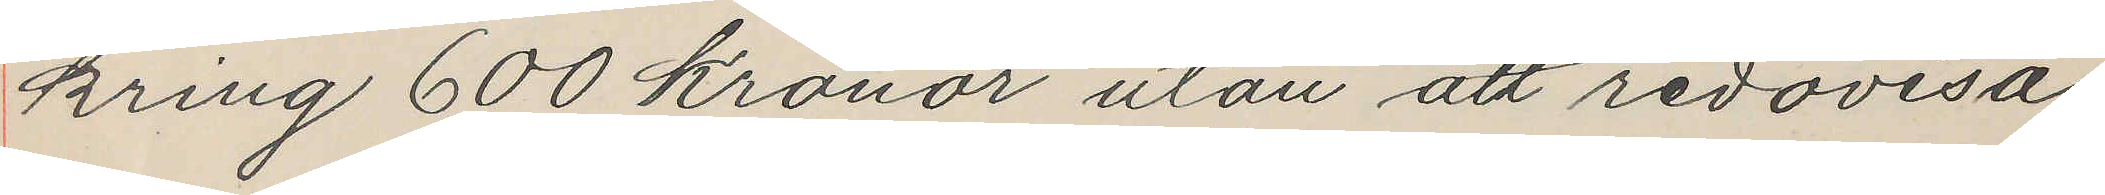kring 600 kronor utan att redovisa
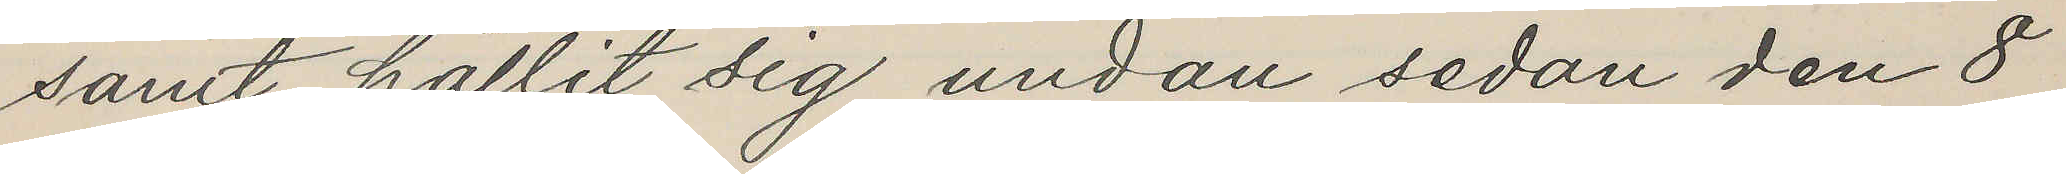samt hållit sig undan sedan den 8
